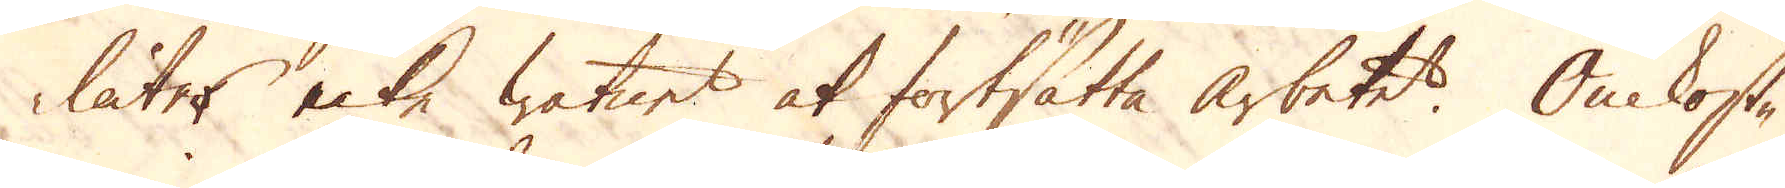låter icke watnet at fortsätta arbetet. Omkost-
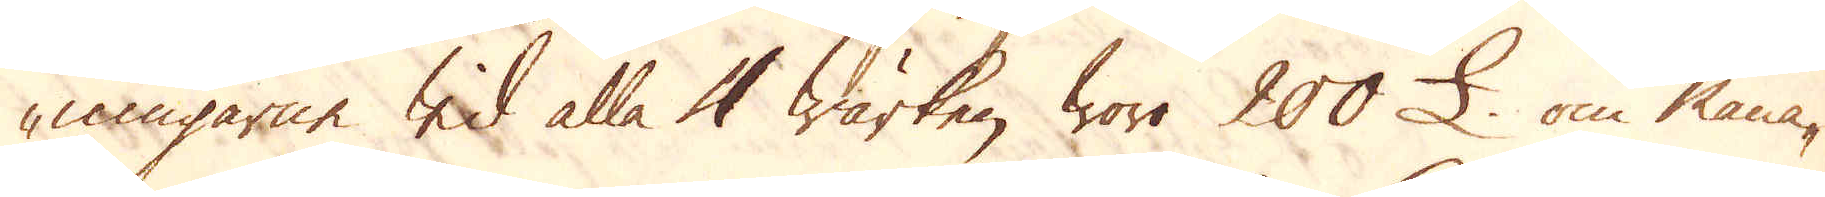ningarne wid alla 4 wärken woro 200 £ om måna-
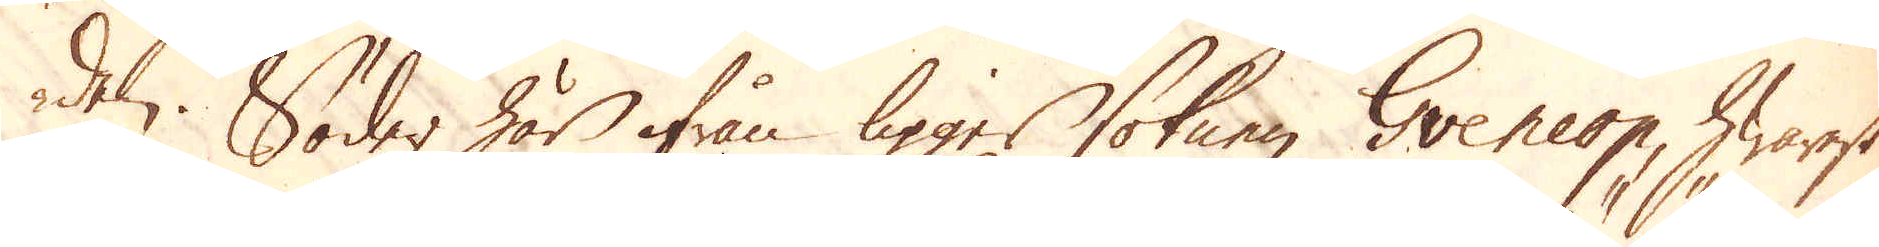den. Söder här ifrån ligger soknen Gveneop, hwarest
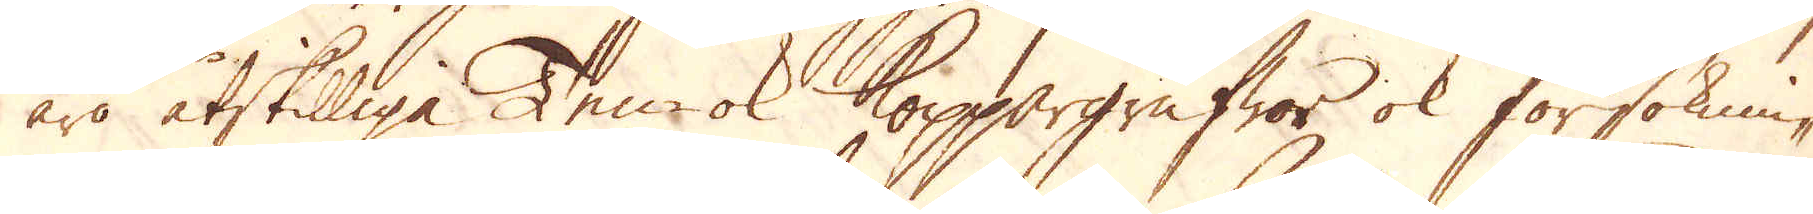äro åtskilliga Ten- ok Koppargrufwor ok försöknin-
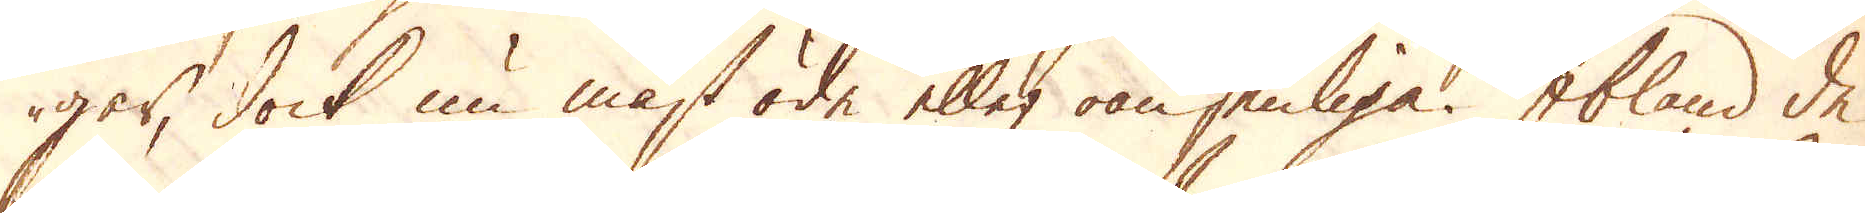gar, dock nu mäst öde eller oansenliga. Ibland de
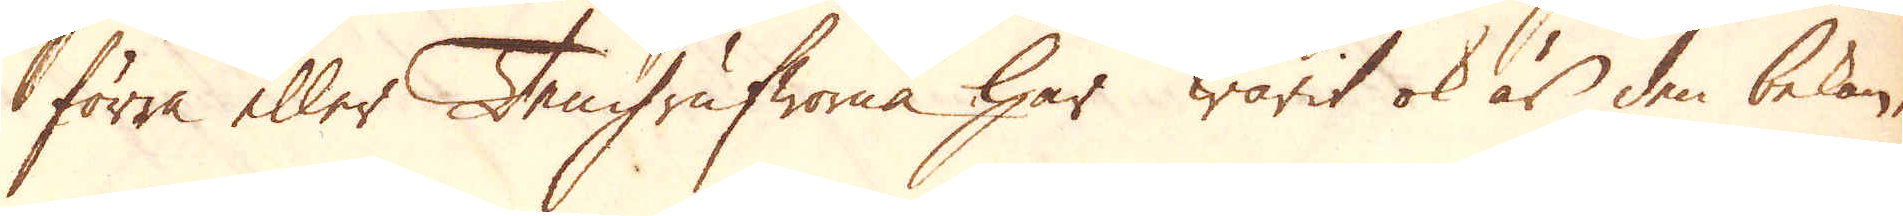förra eller Tengrufworna har warit ok är den bekan-
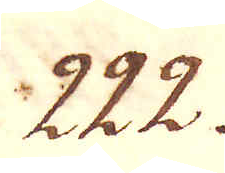222.
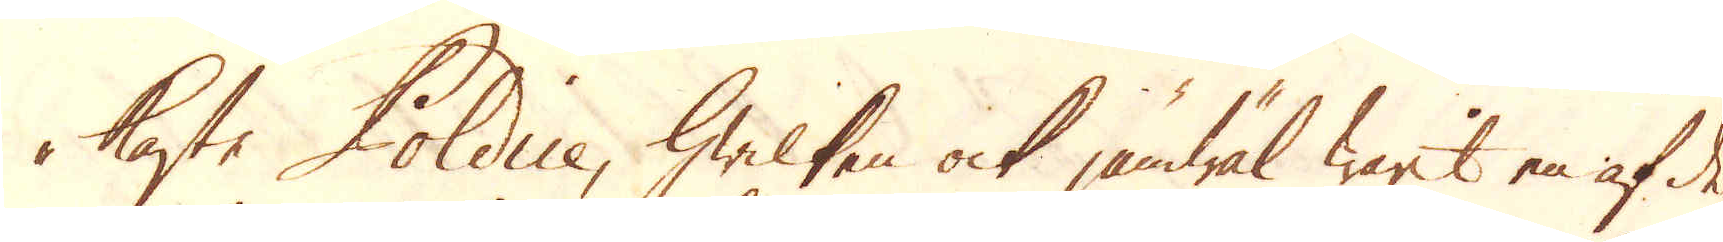taste Poldice, hwilken ock jämwäl warit en af de
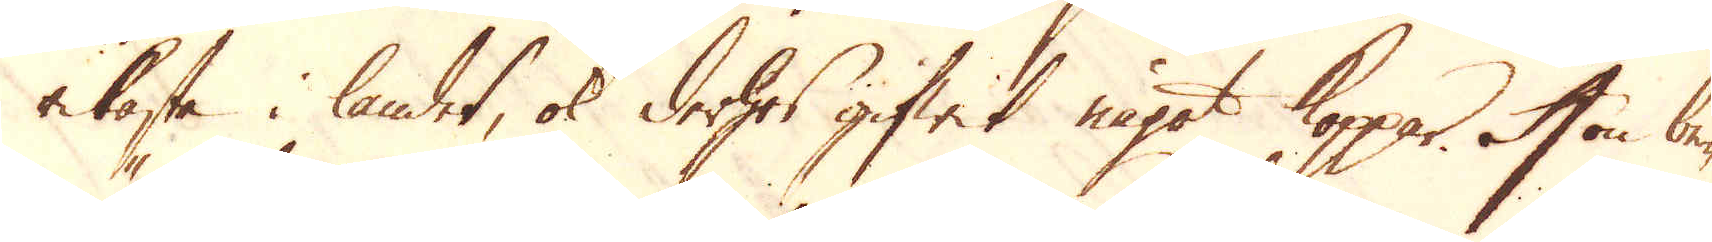rikaste i landet, ok derhos gifwit något Koppar. Hon be-
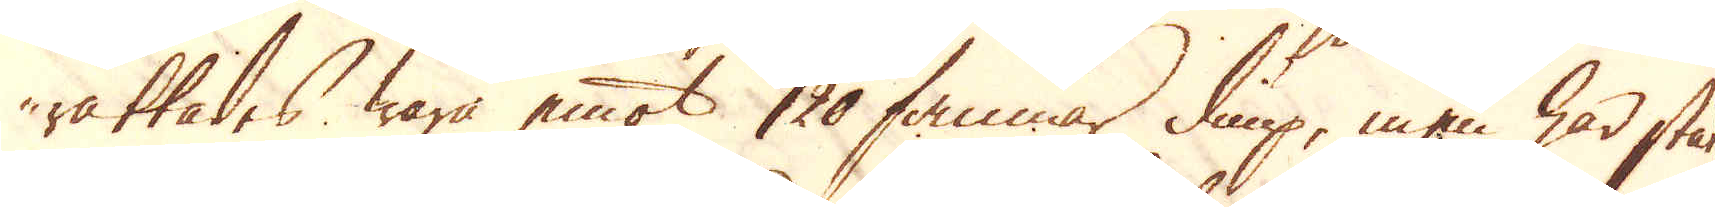rättades wara emot 120 famnar diup, men har stått
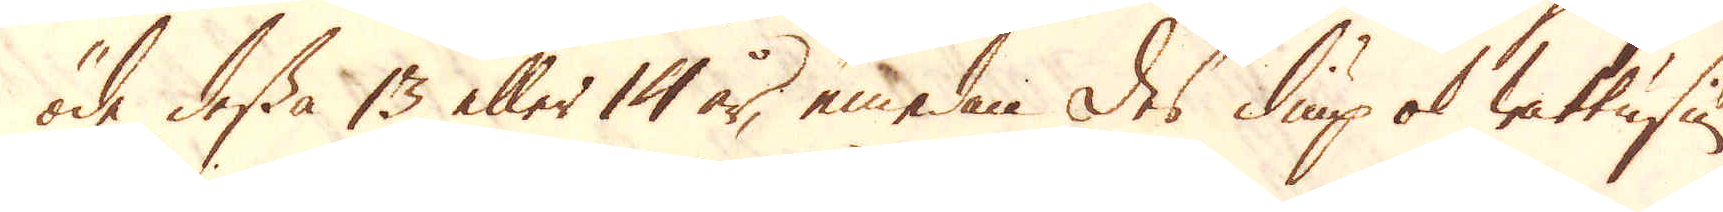öde dessa 13 eller 14 år, emedan des diup ok wattusiu-
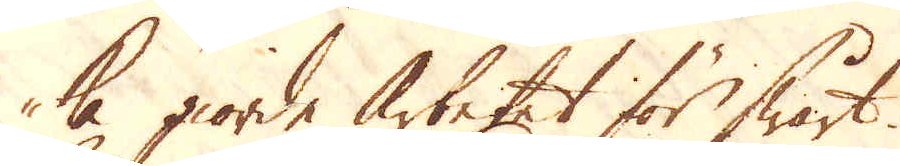ka giorde arbetat för swårt.
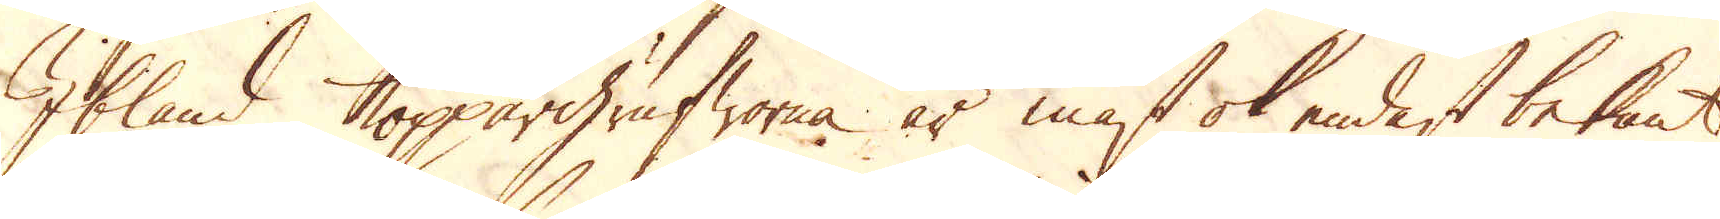Ibland Koppargrufworna är mäst ok endast bekant
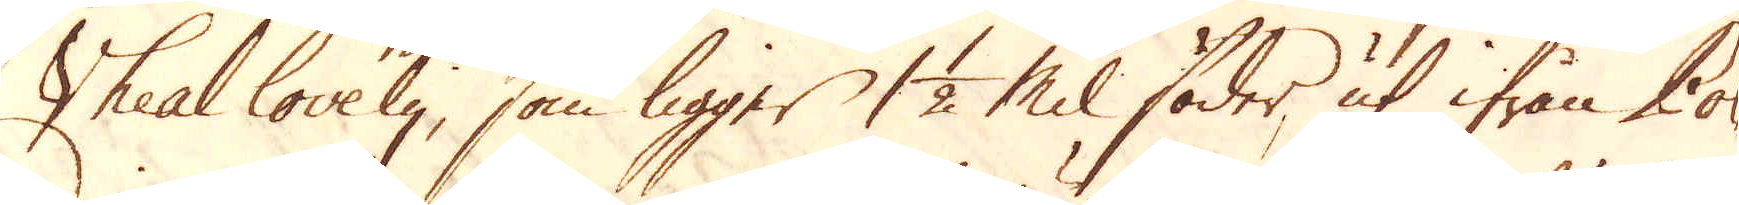Vheal lovely, som ligger 1 1/2 Mil söder ut ifrån Pol-
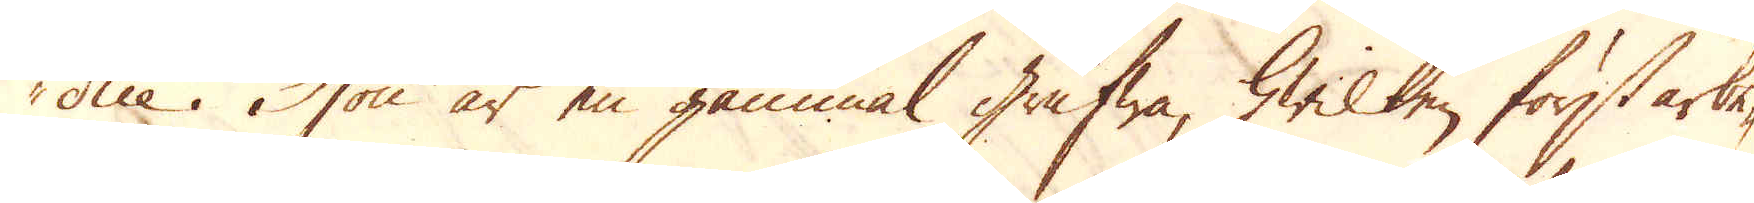die. Hon är en gammal grufwa, hwilken först arbe-
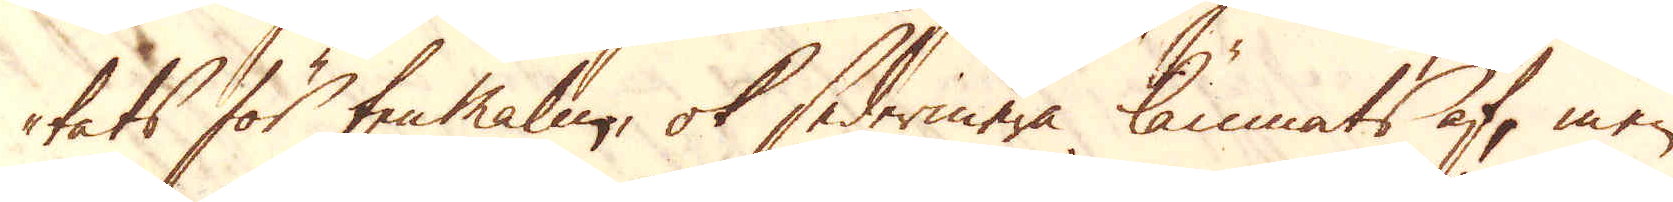tats för ten malm, ok sedermera lämnats af, men
